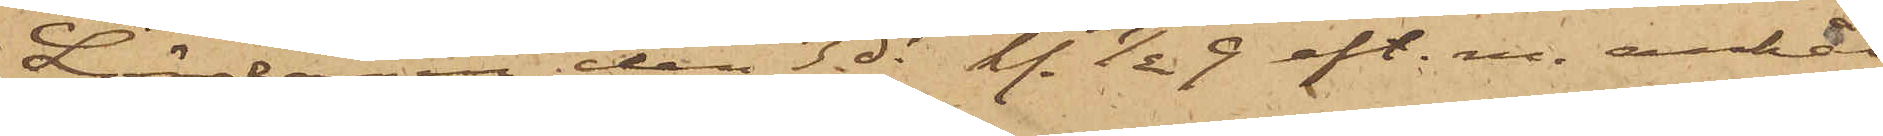Lördagen den 3 ds kl. 1/2 9 eft. m. anhål¬
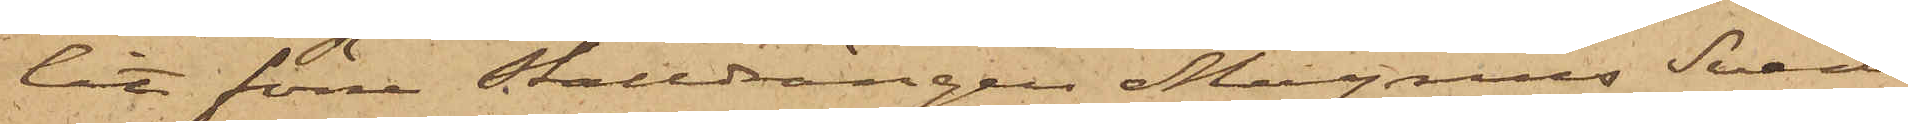lit förre stalldrängen Magnus Svens¬
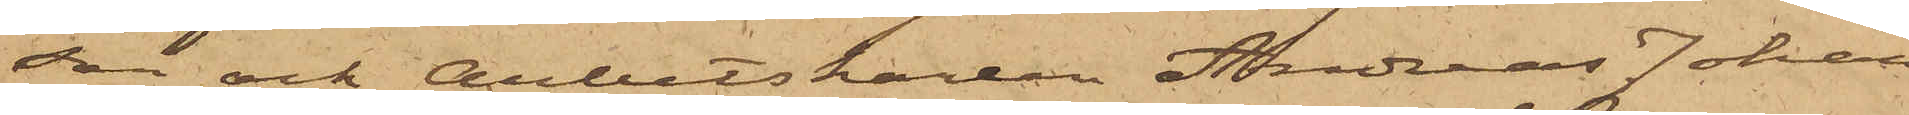son och Arbetskarlen Andreas Johan¬
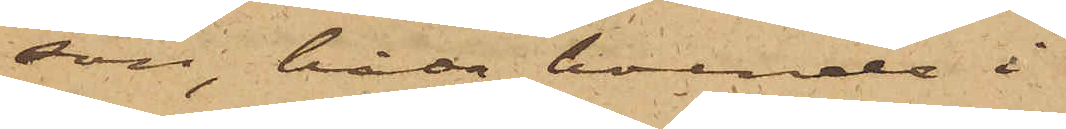son, båda boende i
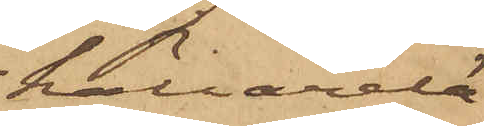källarelä¬
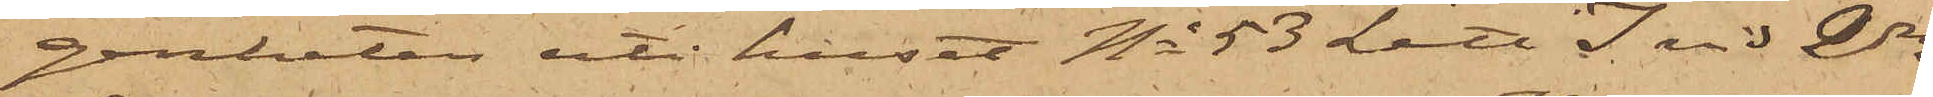genheten uti huset No 53 Litt. I vid 2dra
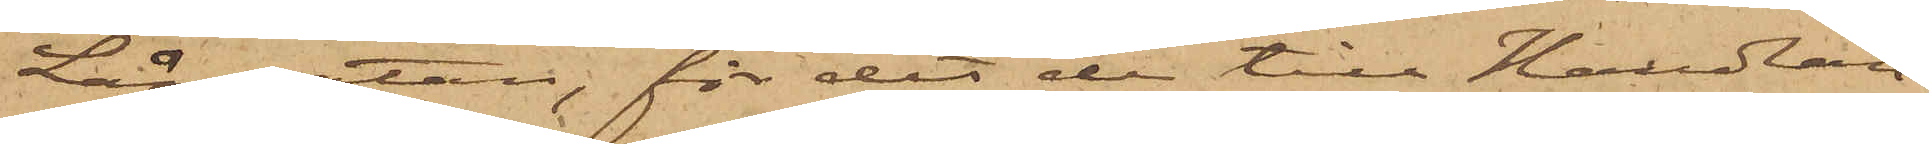Långgatan, för det de till Handlan¬
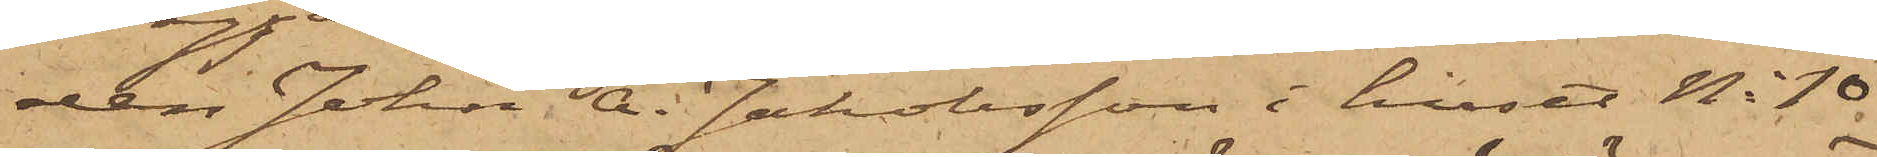den John A. Jakobsson i huset No 10
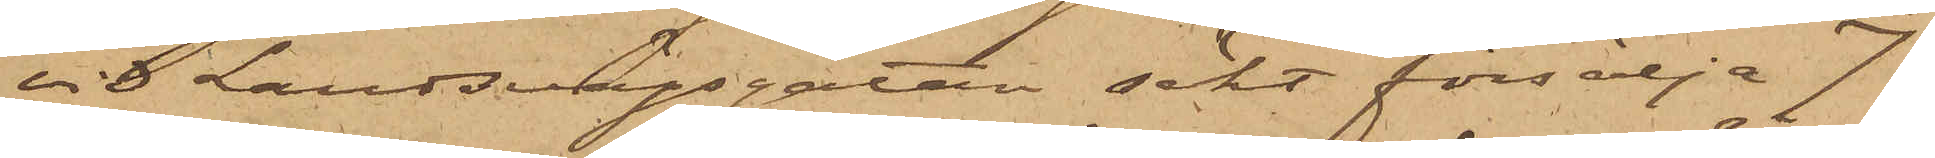vid Landsvägsgatan sökt försälja 7
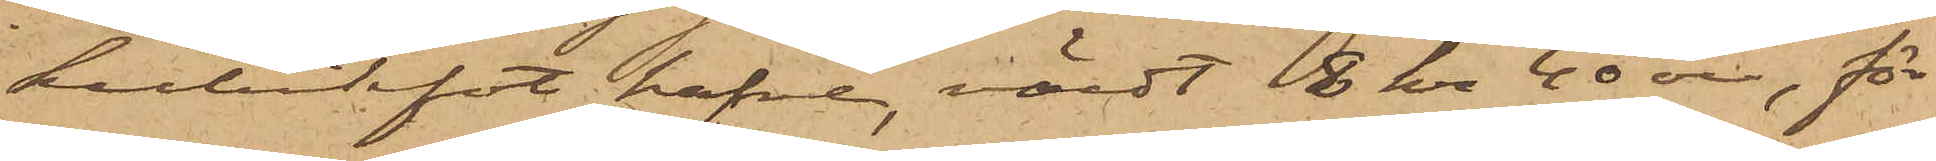kubikfot hafre, värdt 8 kr 40 öre, för
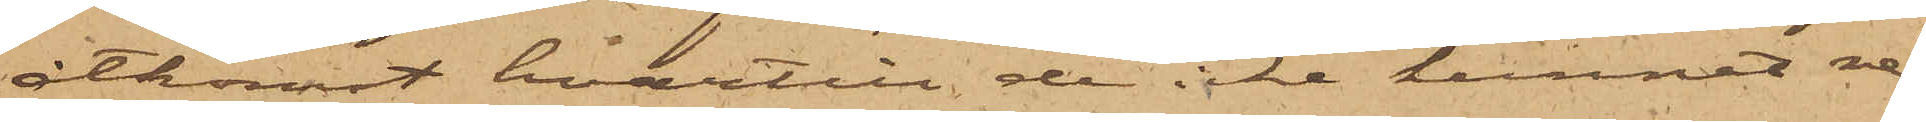åtkomst hvartill de icke kunnat re¬
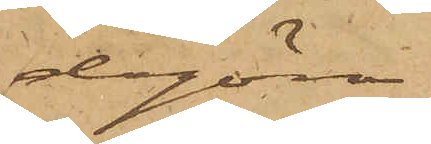dogöra.
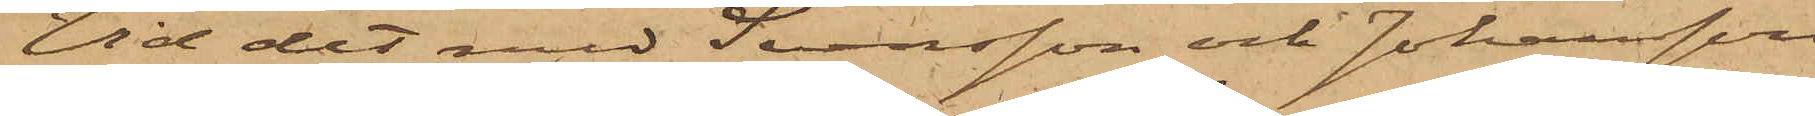Vid det med Svensson och Johansson
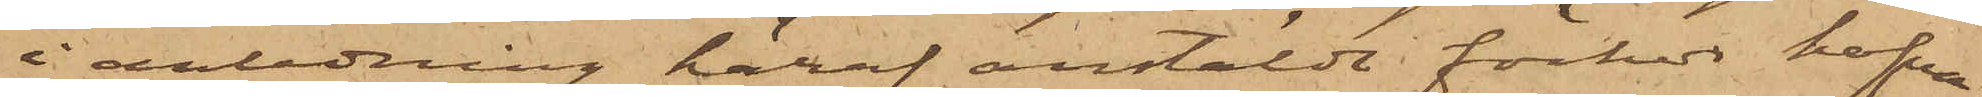i anledning häraf anstäldt förhör hafva
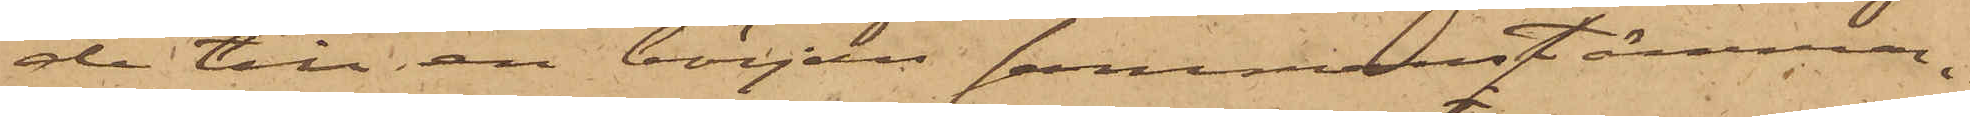de till en början sammanstämman¬
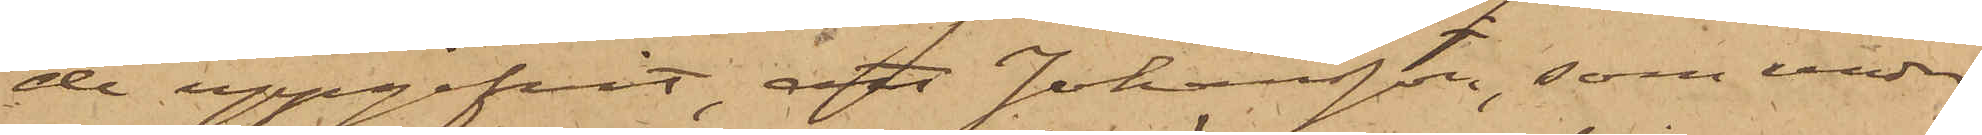de uppgifvit, att Johansson, som under
